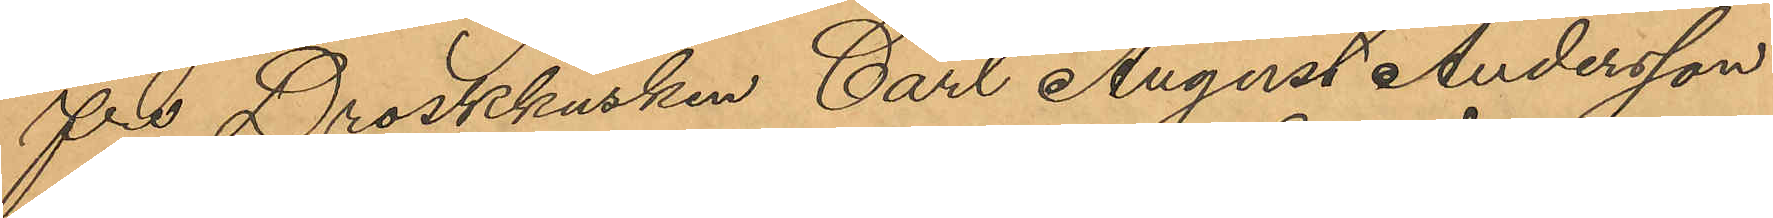fre Droskkusken Carl August Andersson
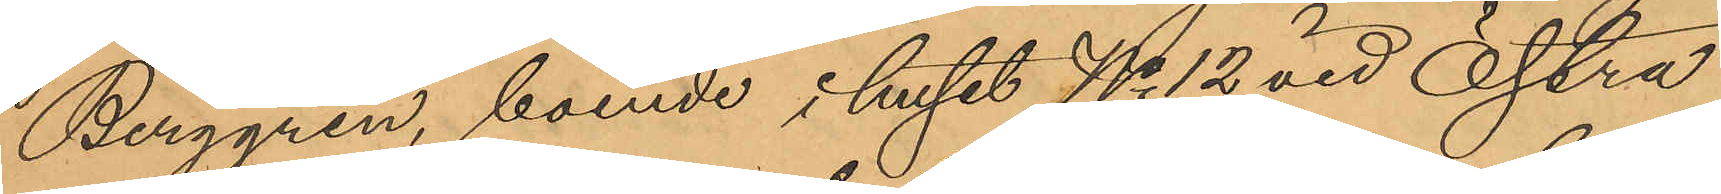Berggren, boende i huset No 12 vid Östra
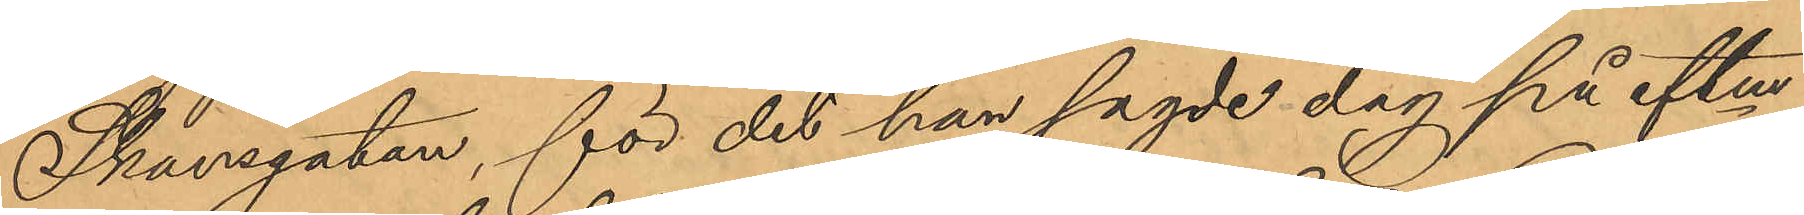Skansgatan, för det han sagde dag på eftm
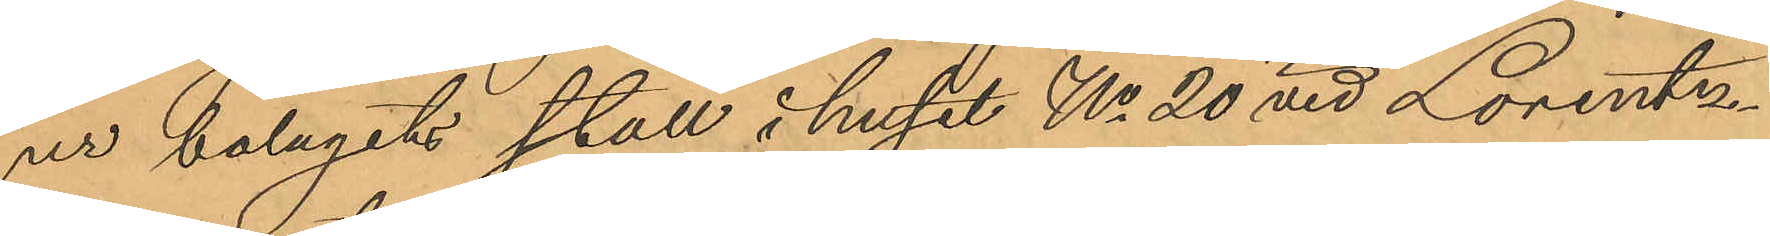ur bolagets stall i huset No 20 vid Lorentz¬
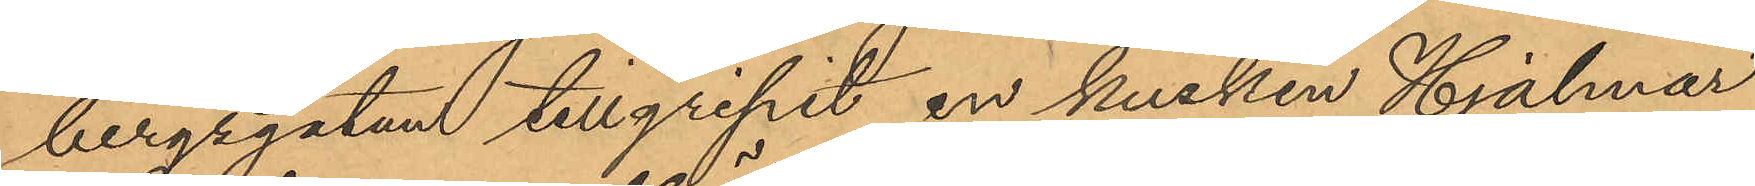bergsgatan tillgripit en kusken Hjalmar
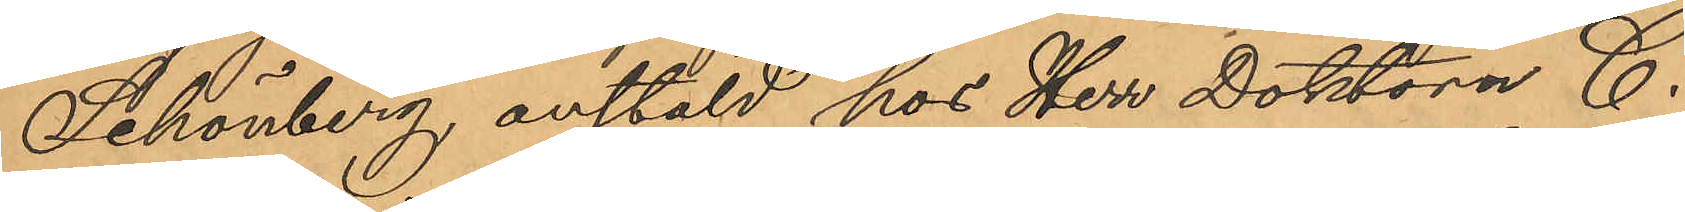Schönberg, anstäld hos Herr Doktorn C
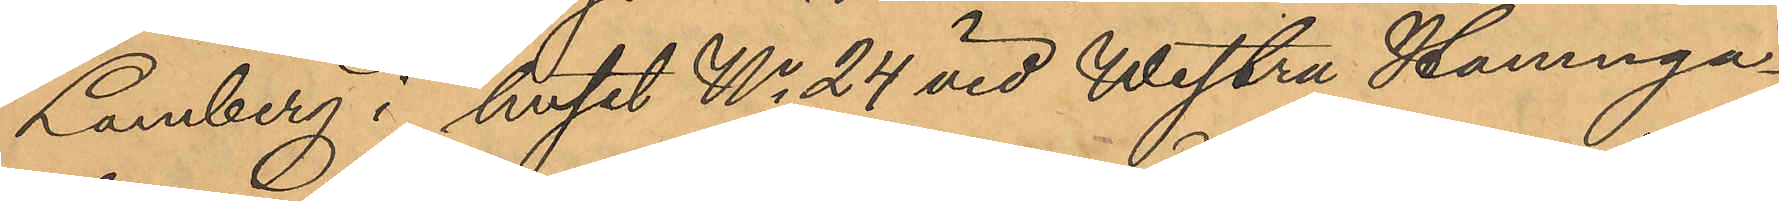Lamberg i huset No 24 vid Westra Hamnga¬
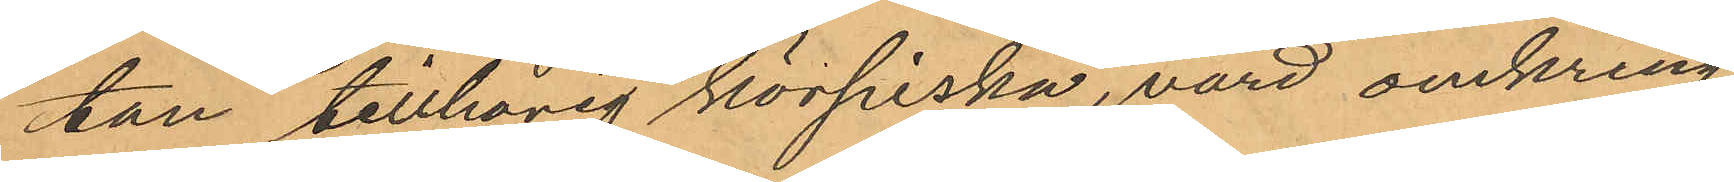tan tillhörig körpiska, värd omkring
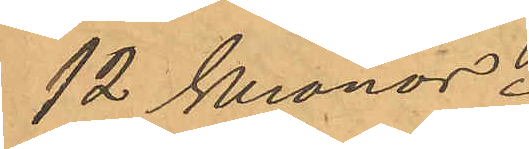12 Kronor.
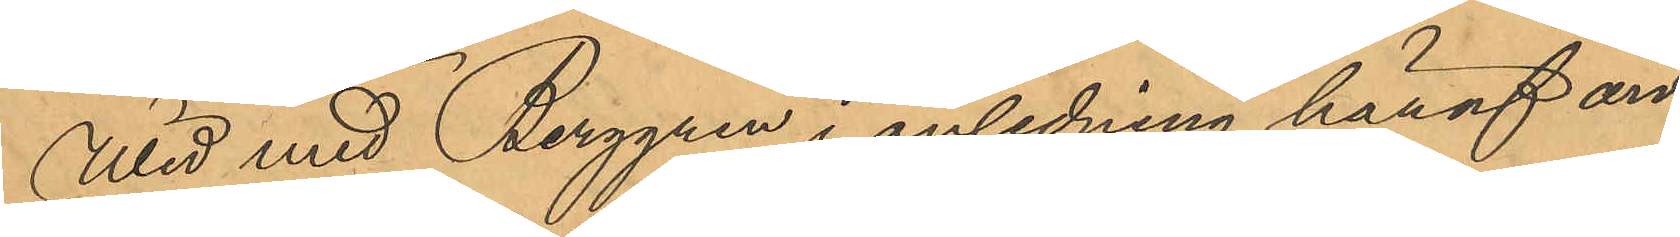Wid med Berggren i anledning häraf an¬
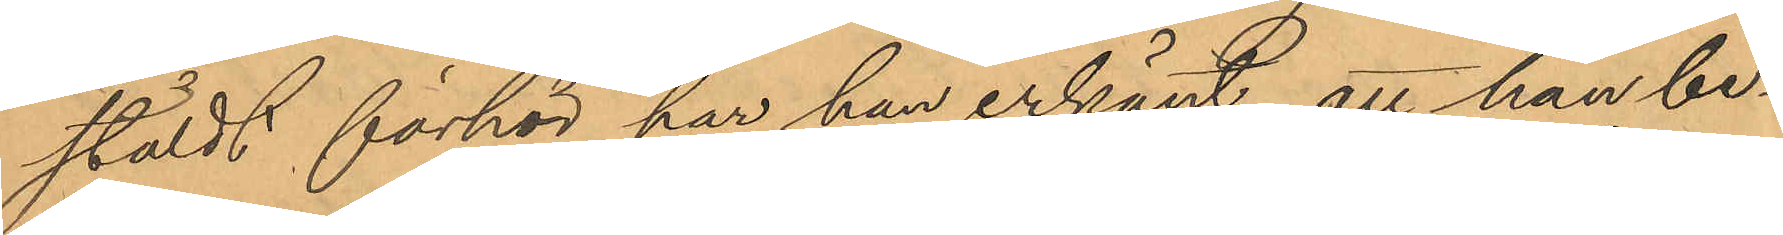stäldt förhör har han erkänt, att han be¬
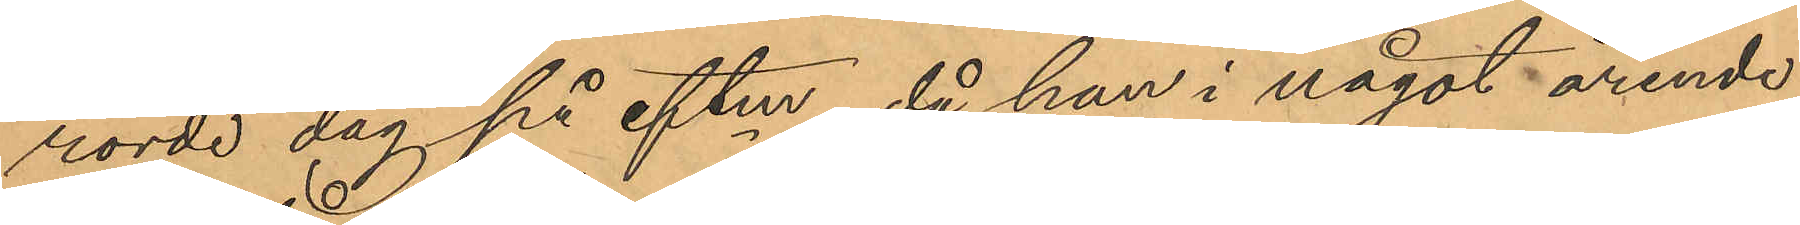rörde dag på eftm, då han i något ärende
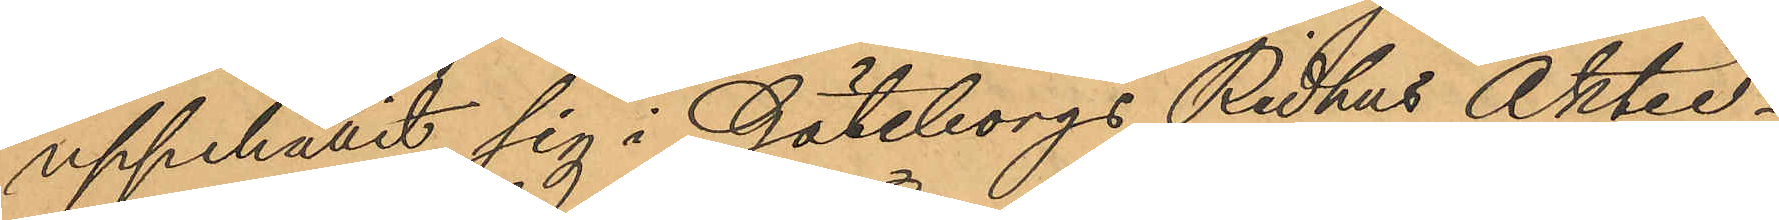uppehållit sig i Göteborgs Ridhus Aktie¬
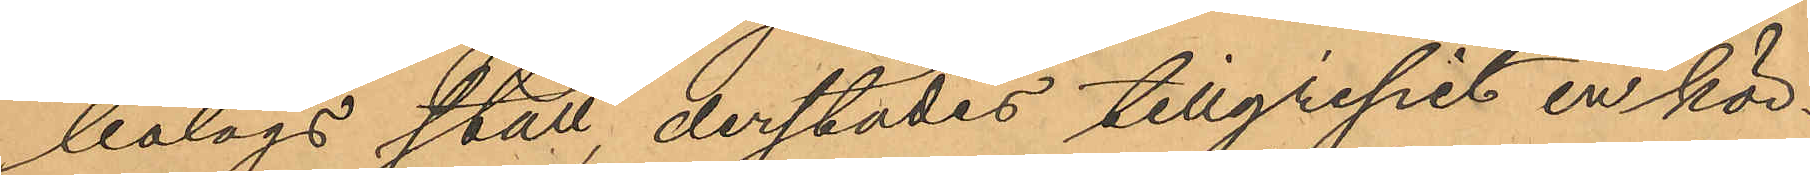bolags stall, derstädes tillgripit en kör¬
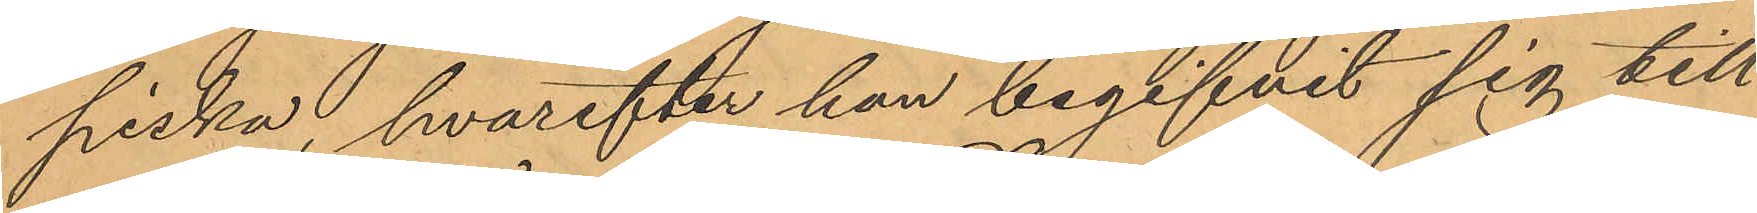piska, hvarefter han begifvit sig till
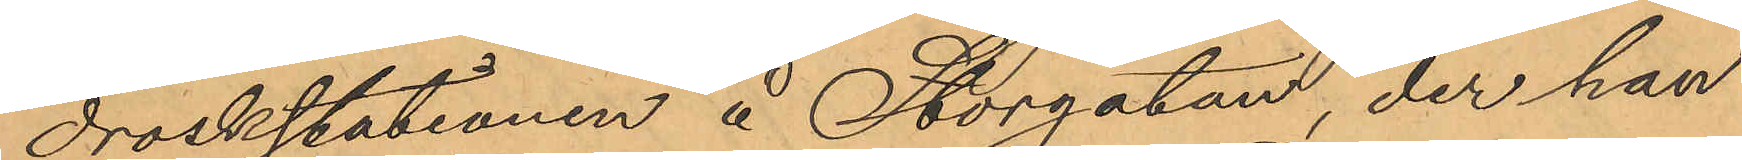droskstationen å Storgatan, der han
